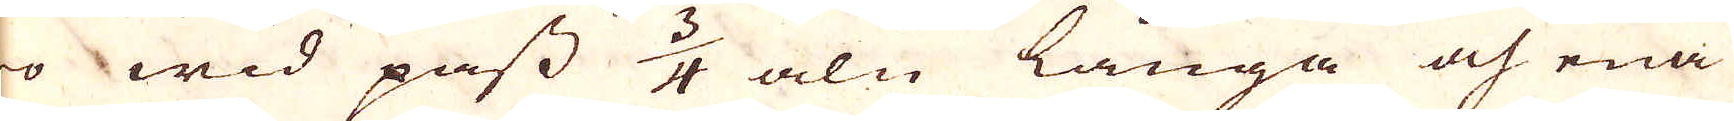äro wid pass 3/4 aln långa och ena
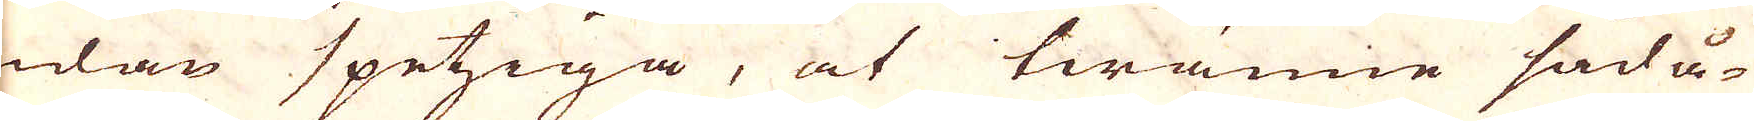edan spetziga, at twänne sådå-
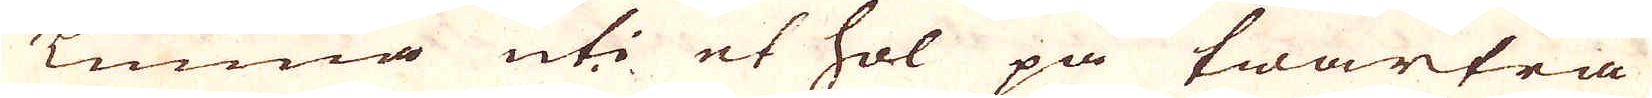ne Tunna uti et hol på twärträ
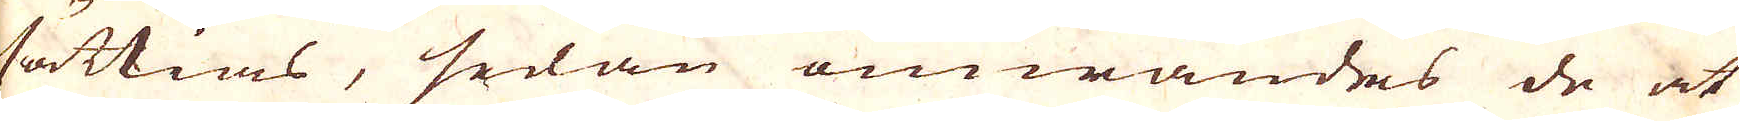insättias, sedan omwändes de at
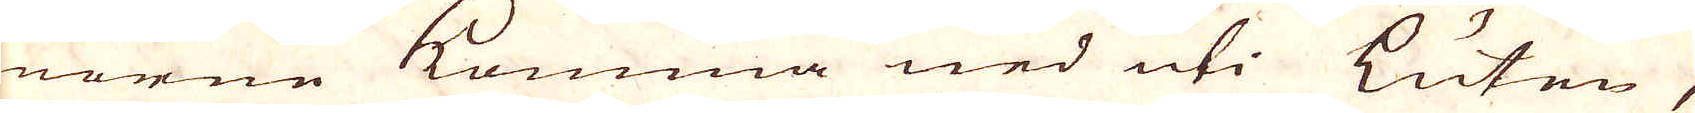ränorne komma ned uti luten,
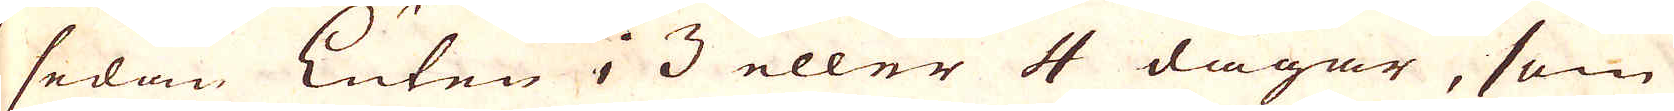så sedan luten i 3 eller 4 dagar, som
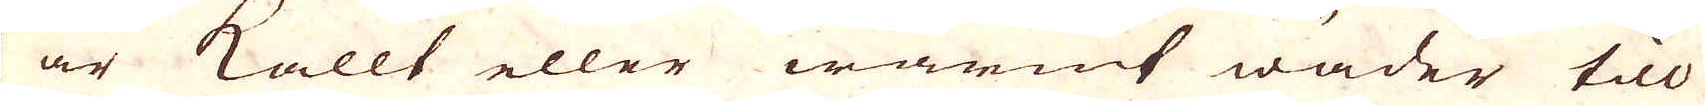det är kallt eller warmt wäder till
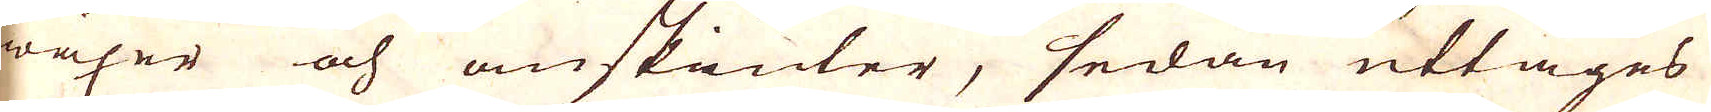wäxer och anskiuder, sedan uttages
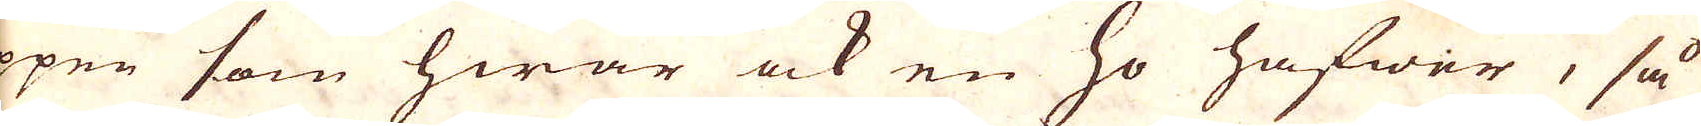öppne som hwar ock en ho hafwer, så
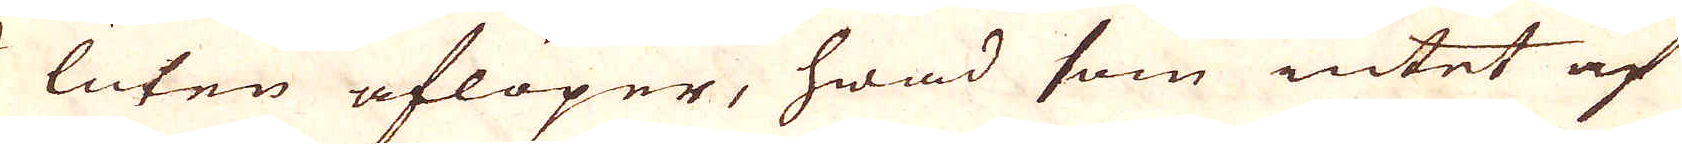att luten aflöper, hwad som intet af
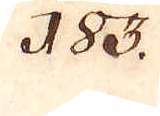183.
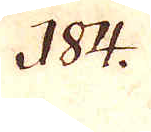184.
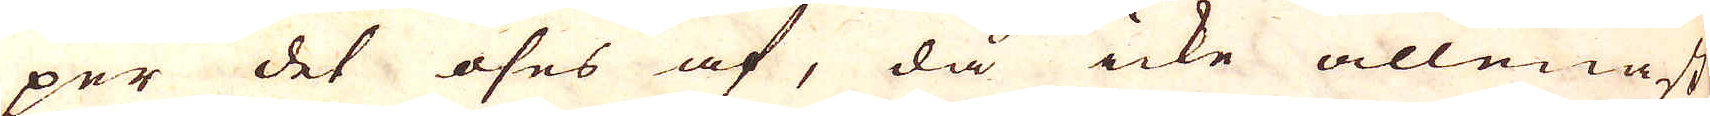per det öses af, då icke allenast
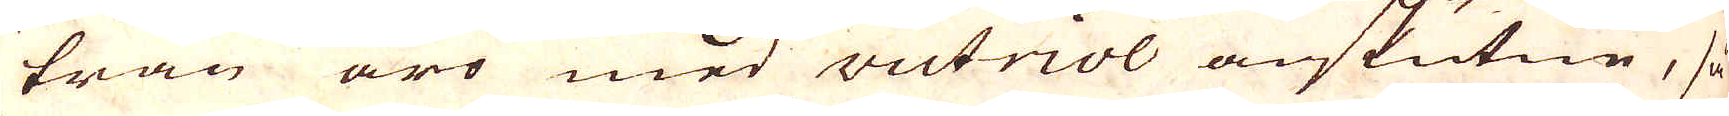trän äro med victriol anskutne, så
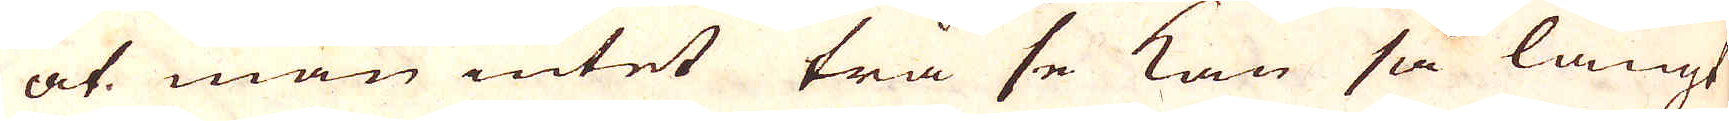at man intet trä se kan så långt
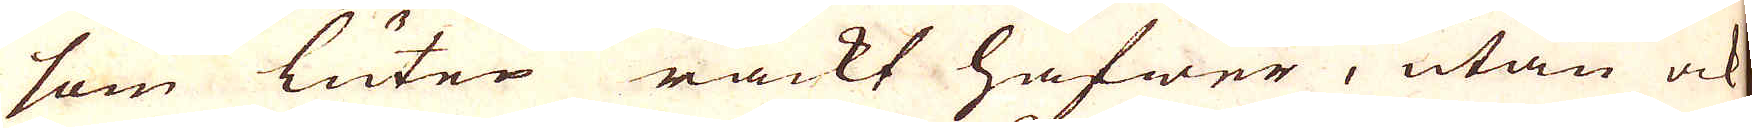som luten räckt hafwer, utan ock
